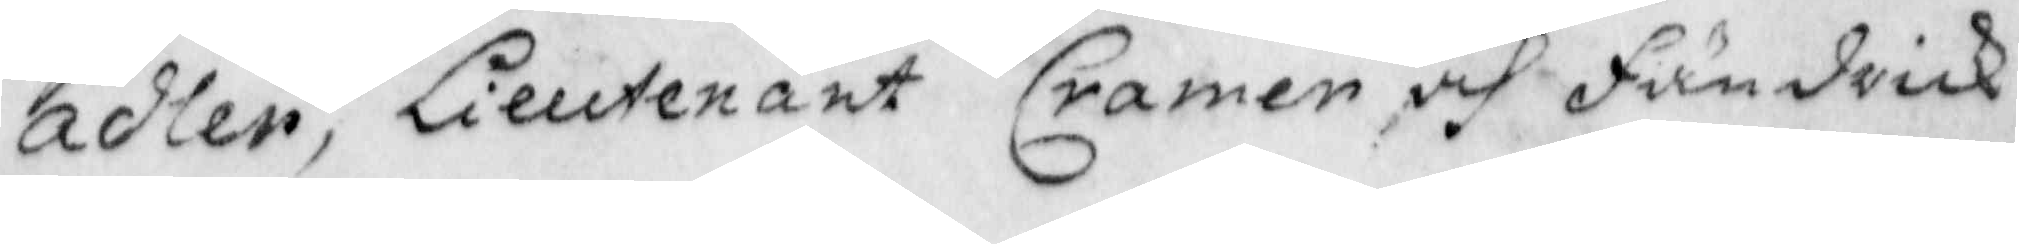adler, Lieutenant Cramer och Fändrick
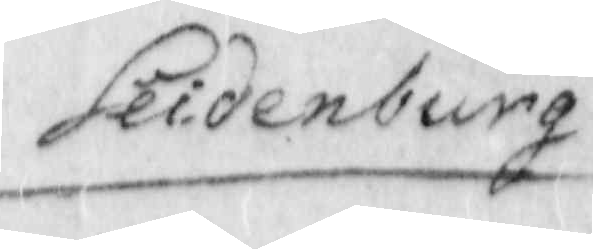Seidenburg
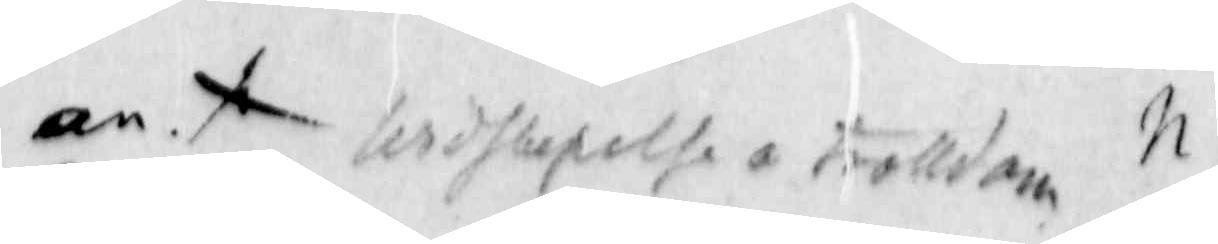an. x widskepelse o trolldom N.
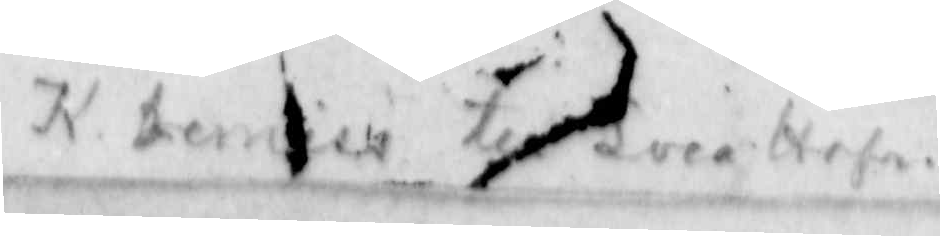K. termin till Svea Hofr.
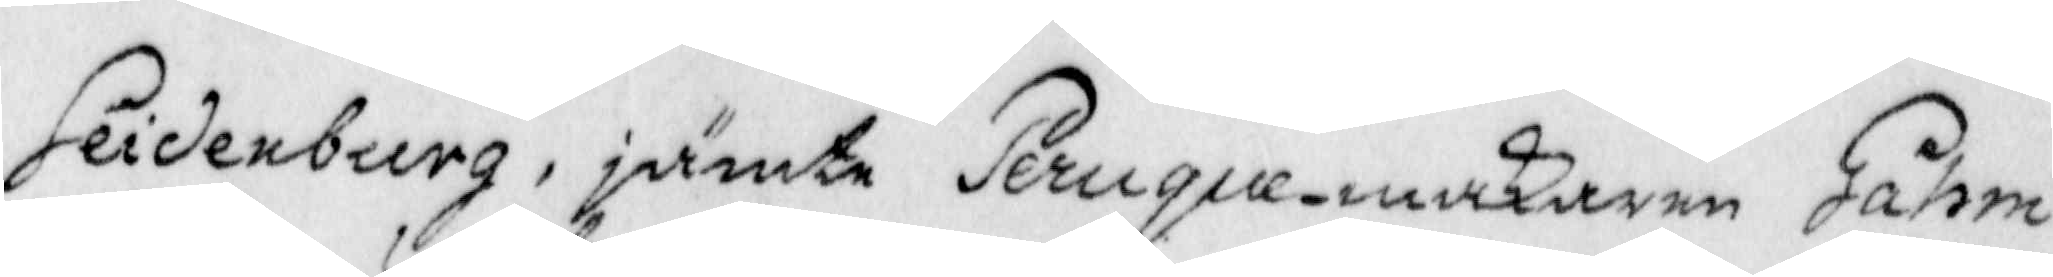Seidenburg, jämte Peruque-makaren Gahm
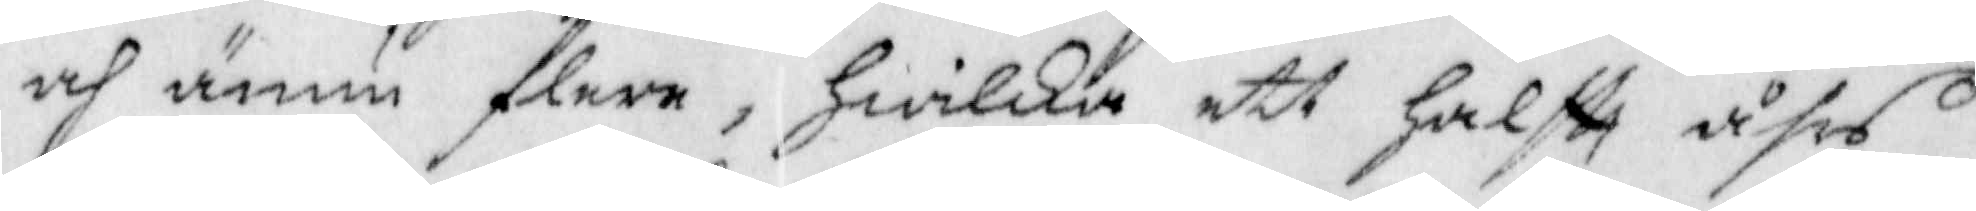och annu flere, Hwilka ett Halftt åhrs
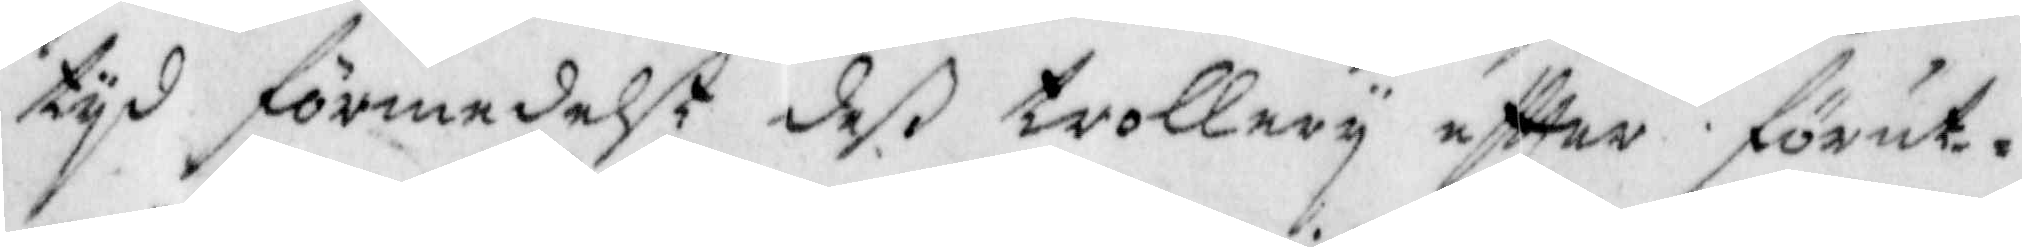tyd förmedelst deß trollery eftter förut¬
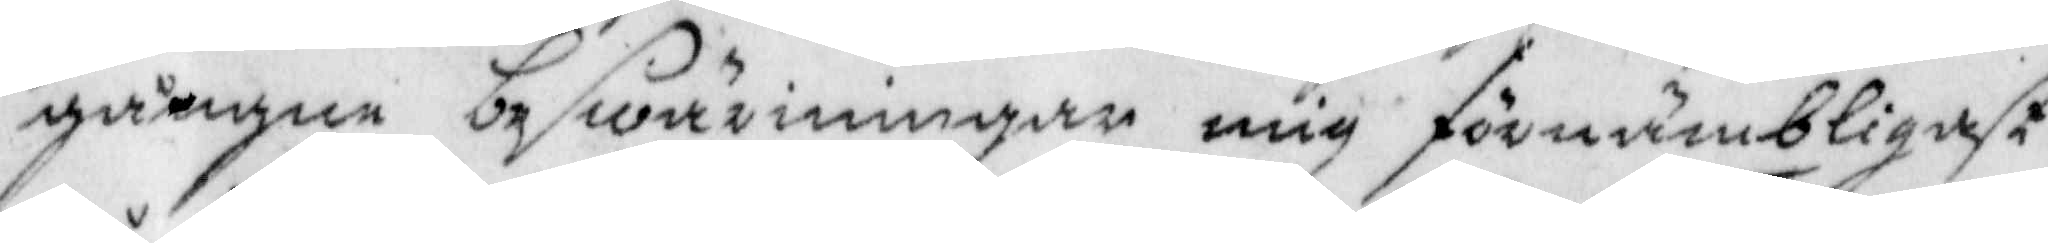gångne beswäriningar mig förnämbligast
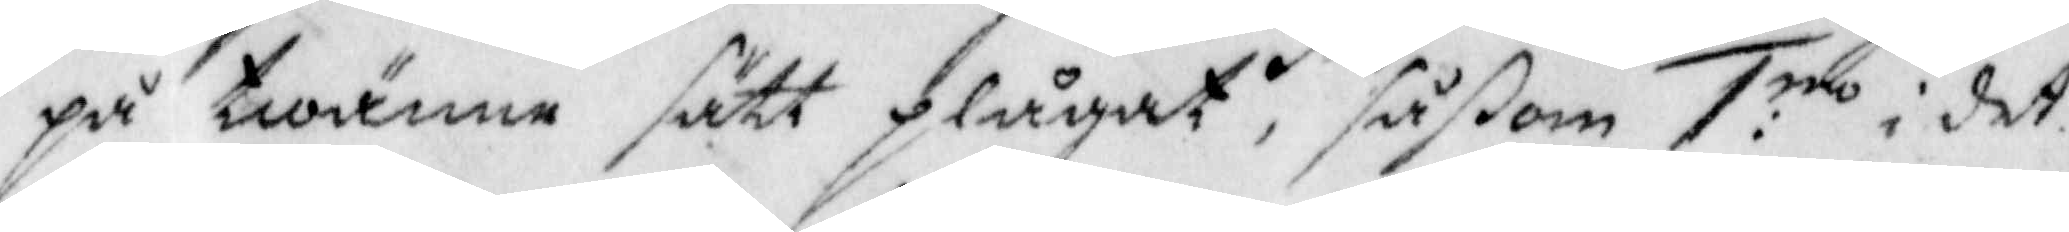på twänne sätt plågat, såsoß 1:no i det
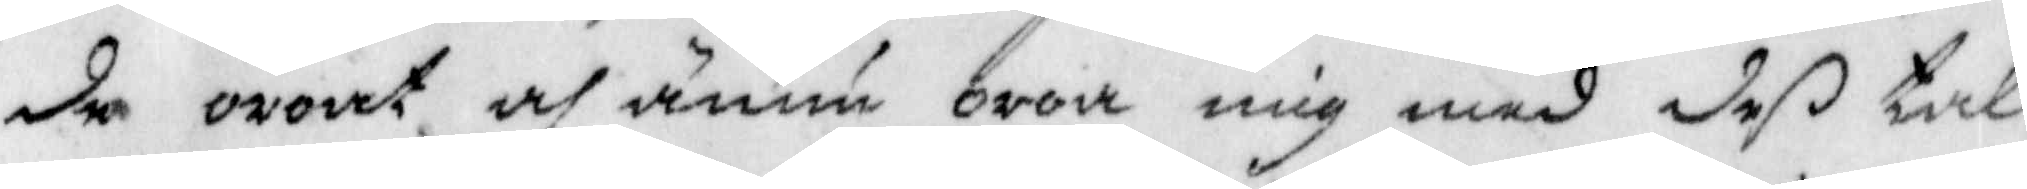de oroat och ännu oroa mig med deß tal
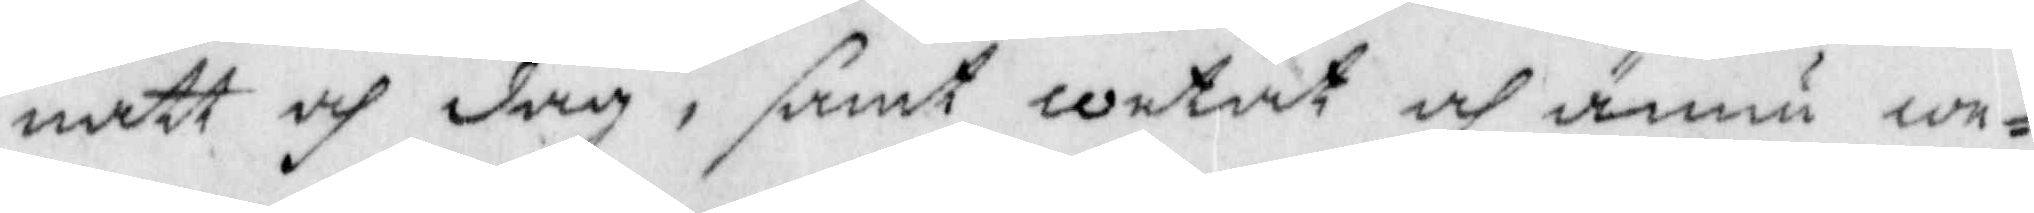natt och dag, samt wetat och ännu we¬
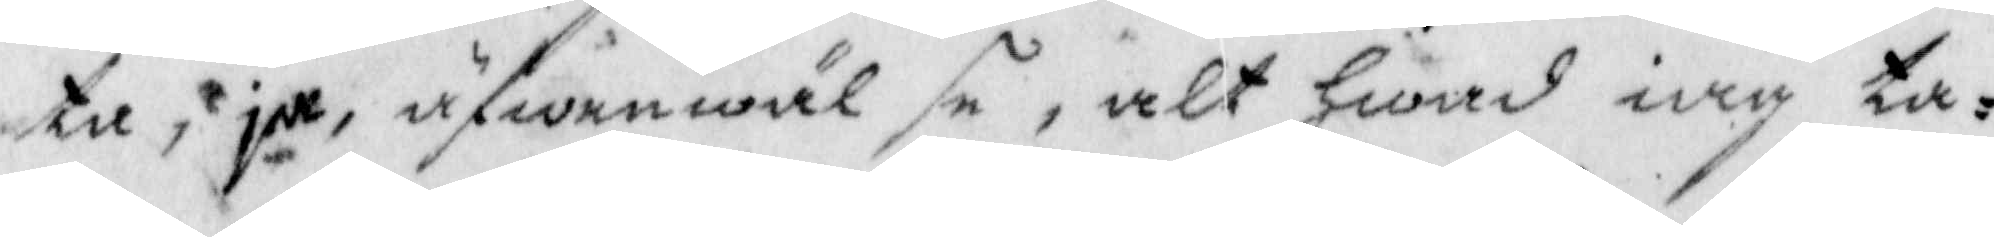ta, ja, äfwenwäl se, alt Hwad iag ta¬
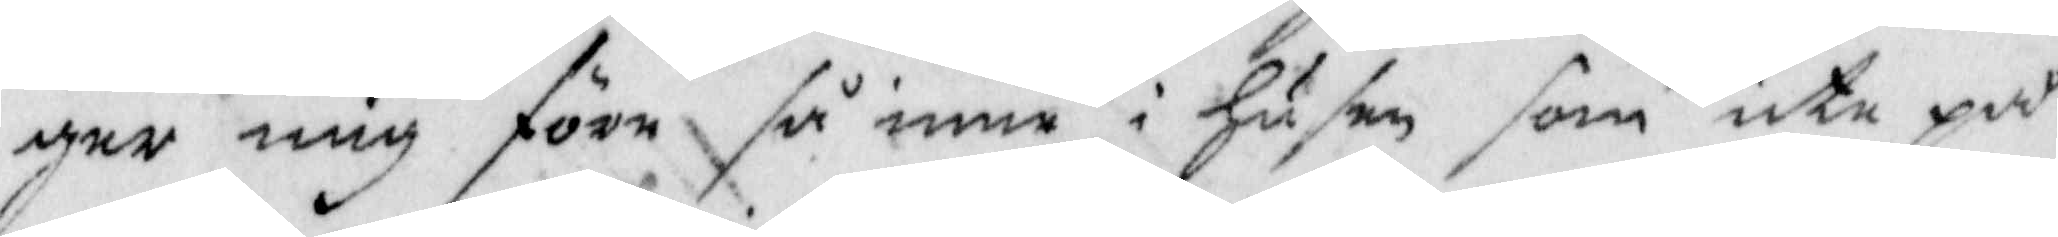ger mig före så inne i Husen som ute på
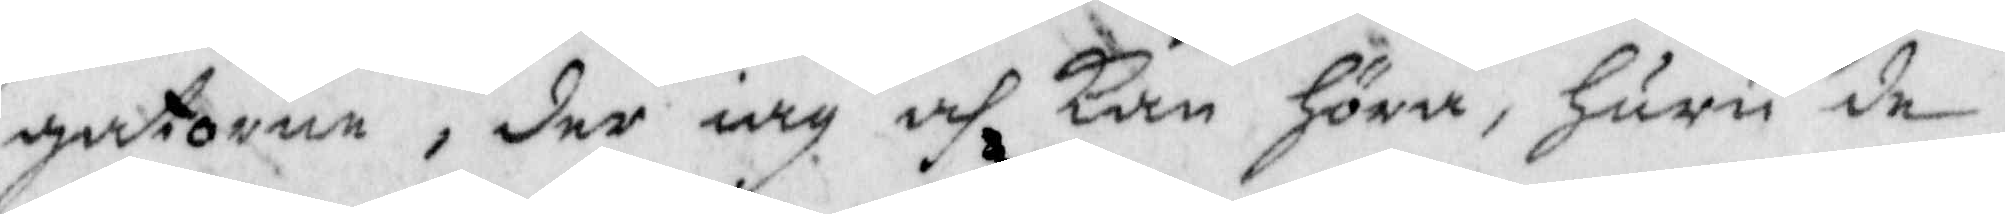gatorne, der iag och Kan Höra, Huru de
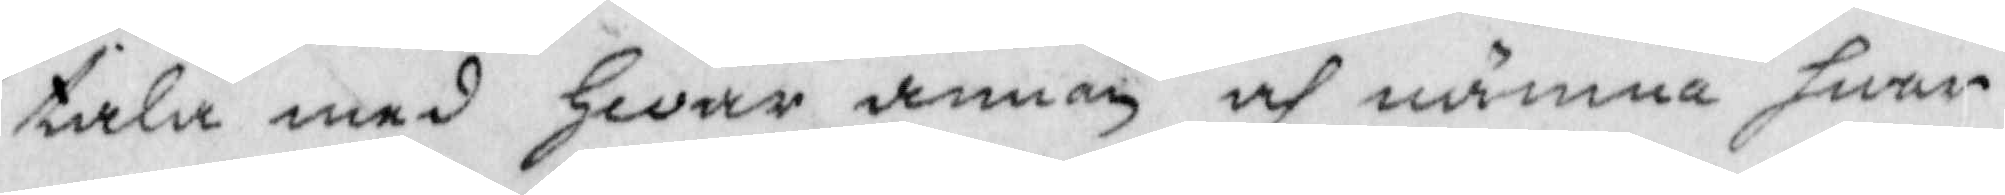tala med Hwar annan och nämna hwar
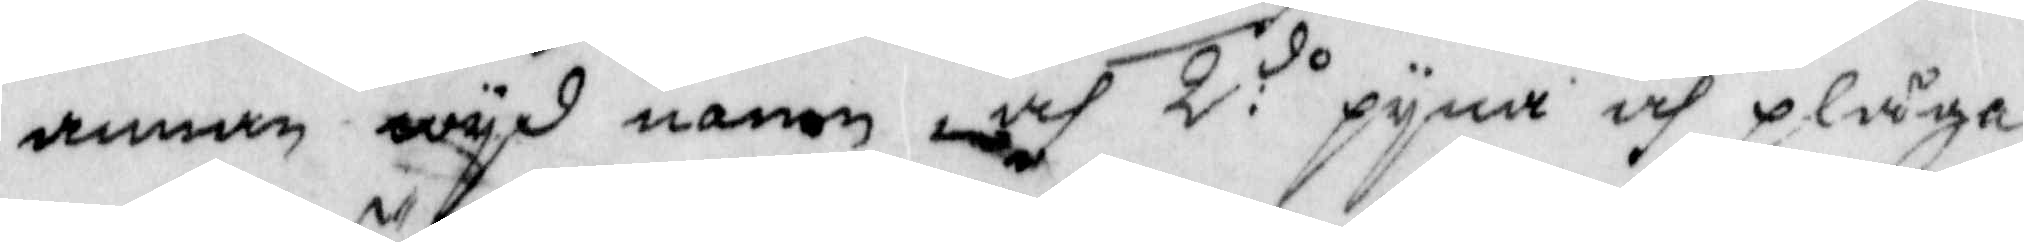annan wyd namn och 2:do pyna och plåga
